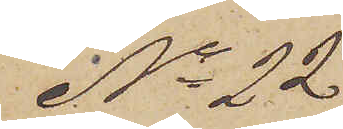No 22
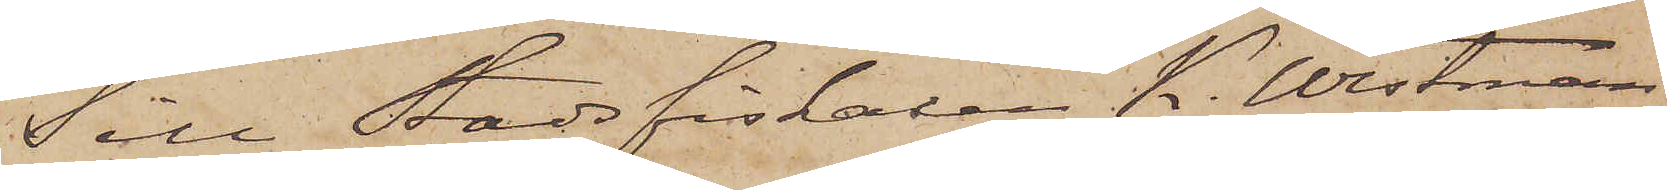Till Stadsfiskalen K. Westman
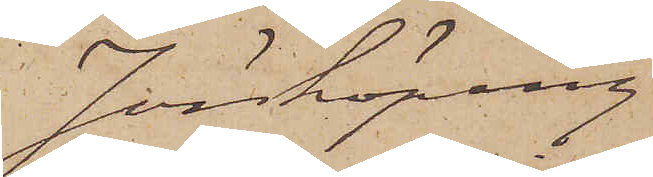Jönköping
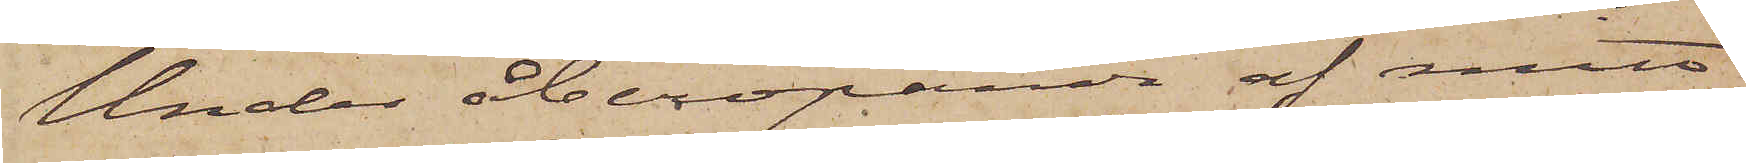Under åberopande af mitt
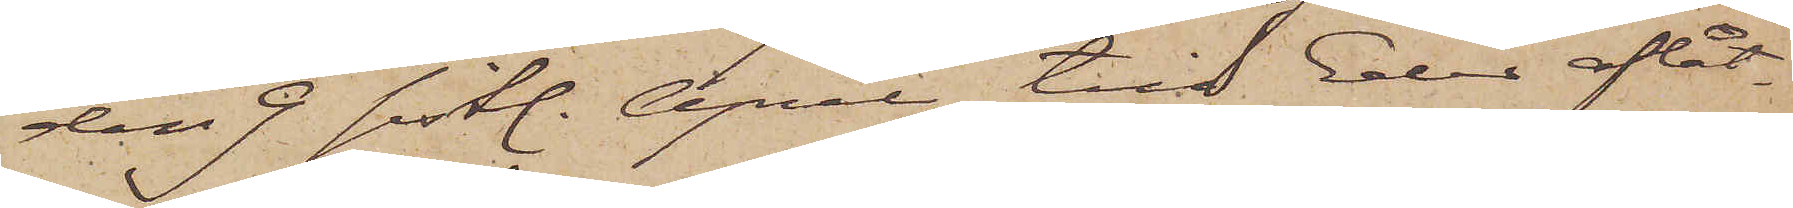den 7 sistl. April till Eder aflåt¬
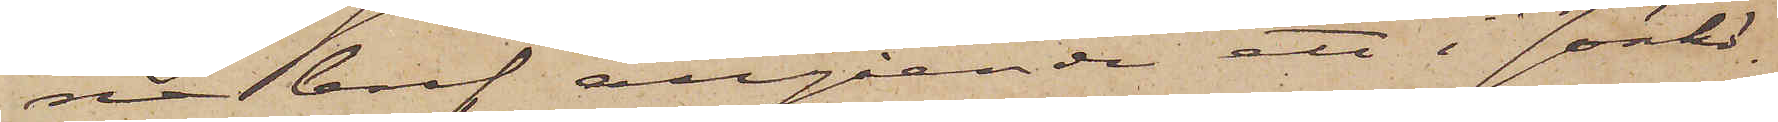na bref angående ett i Jönkö¬
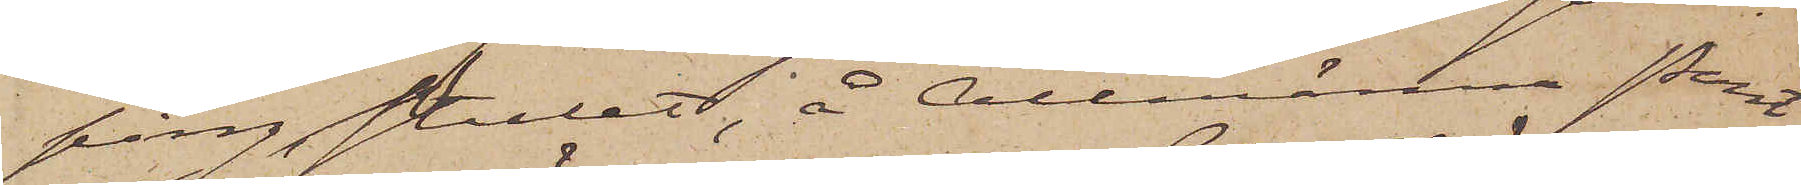ping, stulet, å Allmänna Pant¬
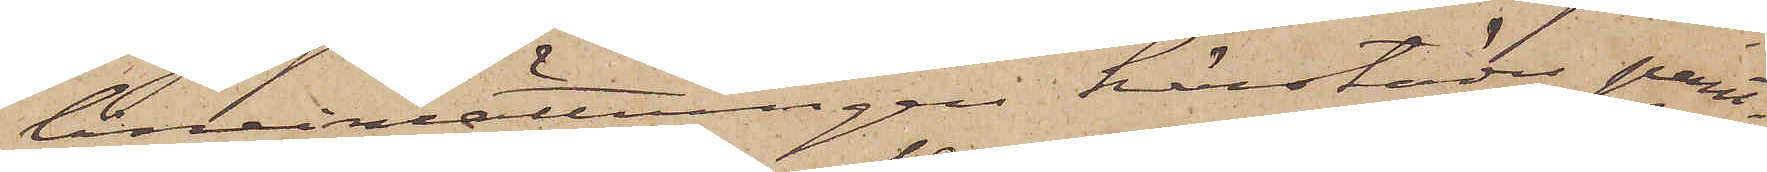låneinrättningen härstädes pant¬
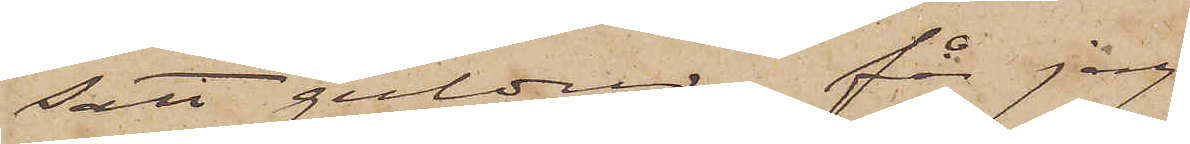satt guldur, får jag
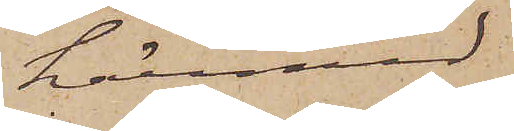härmed
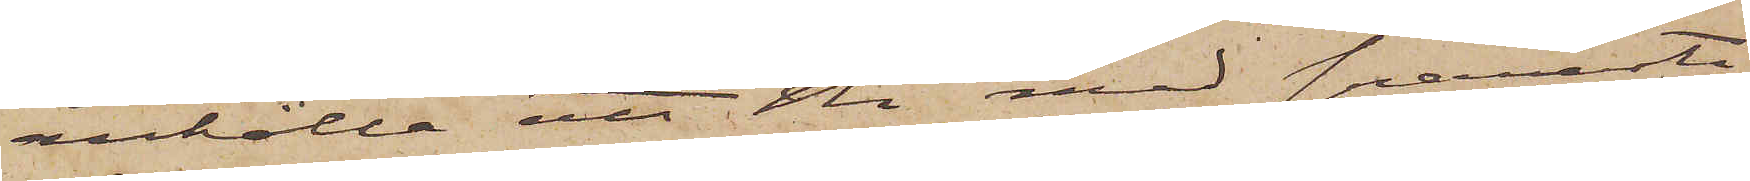anhålla att Ni med snaraste
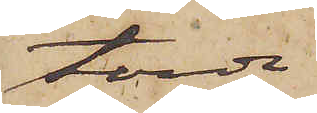torde
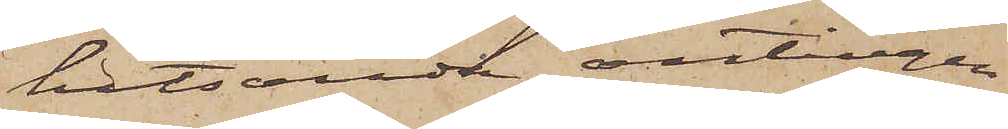hitsända antingen
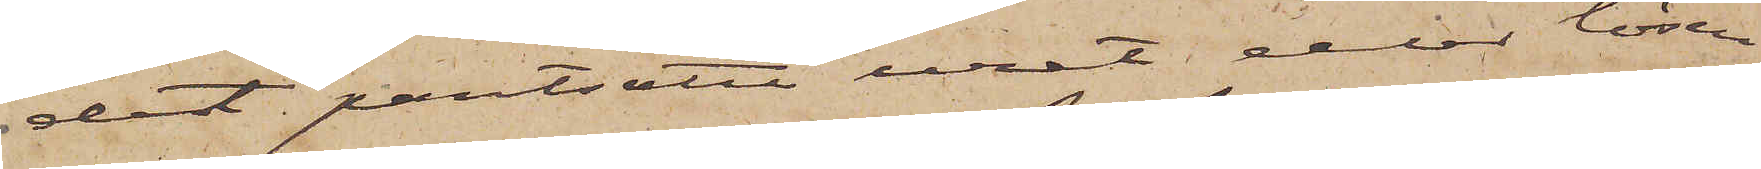det pantsatta uret eller lösen
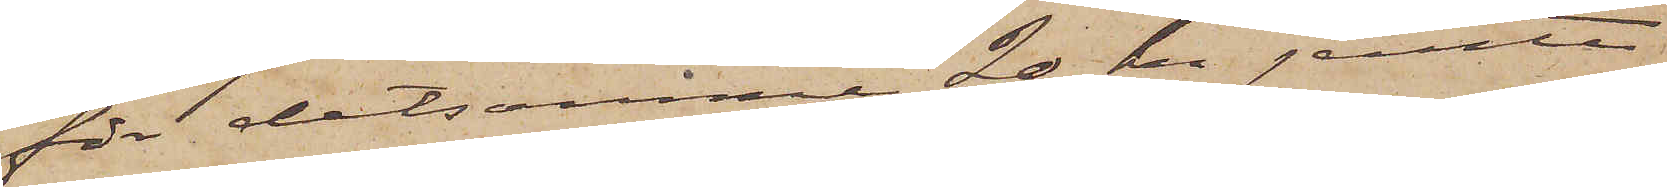för detsamma 20 kr jemte
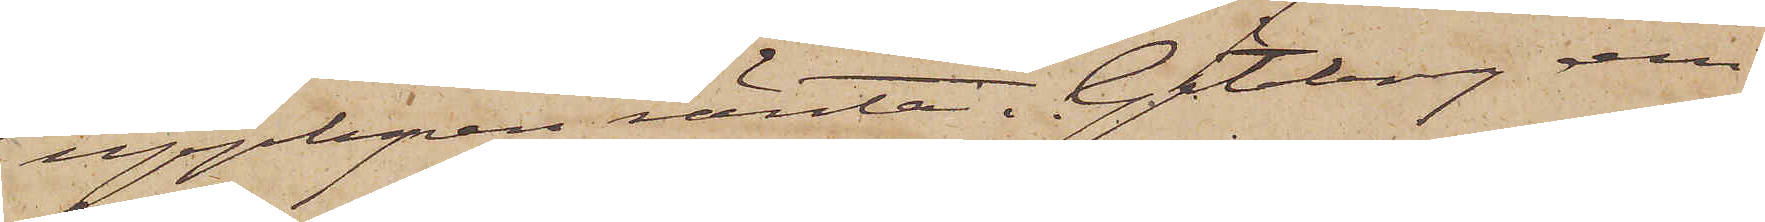upplupen ränta. Göteborg den
